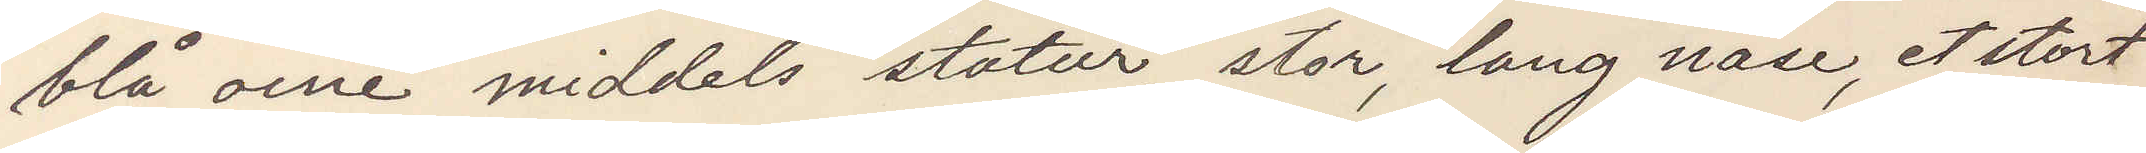blå oine middels statur, stor lang näse, et stort
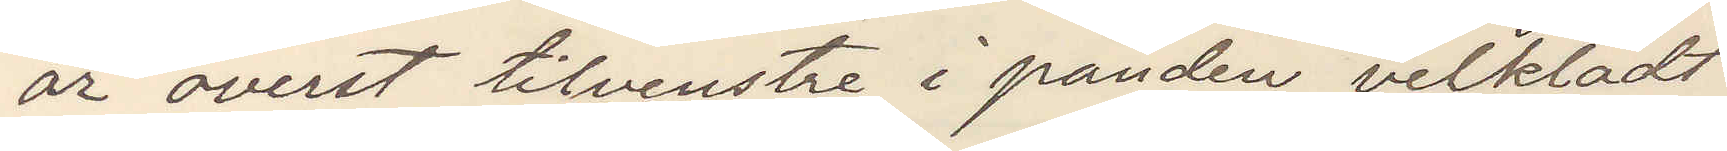ar överst tilvenstre i panden velklädt
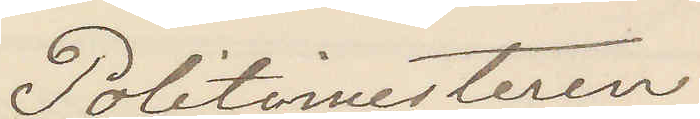Politimesteren
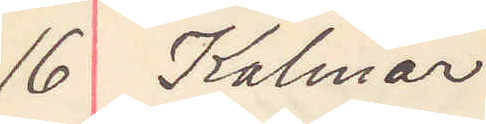16 Kalmar
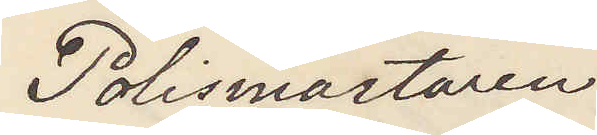Polismästaren 
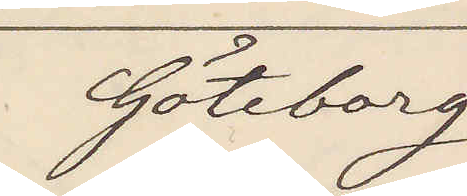Göteborg
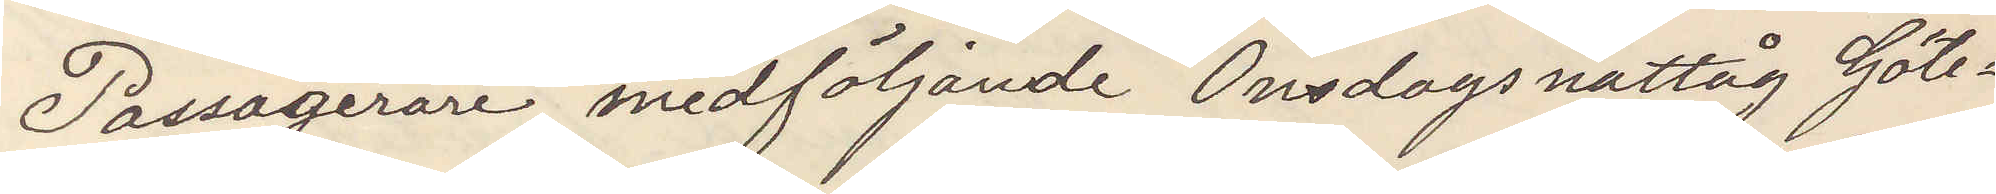Passagerare medföljande Onsdags nattåg Göte¬
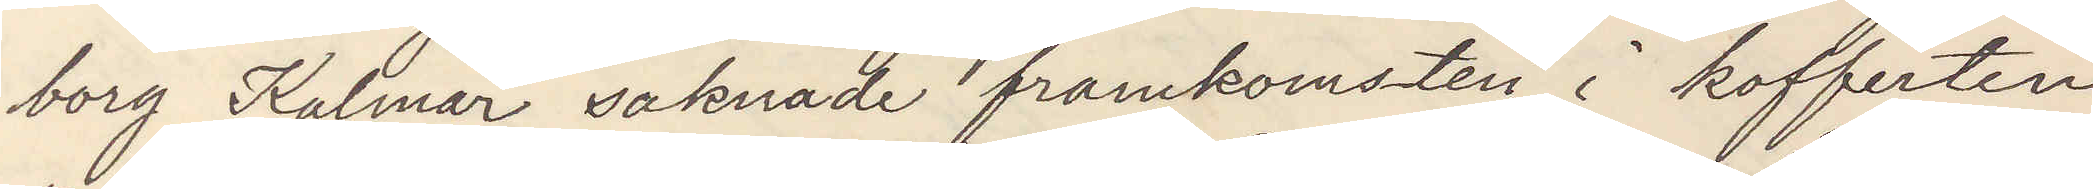borg Kalmar saknad framkomsten i kofferten
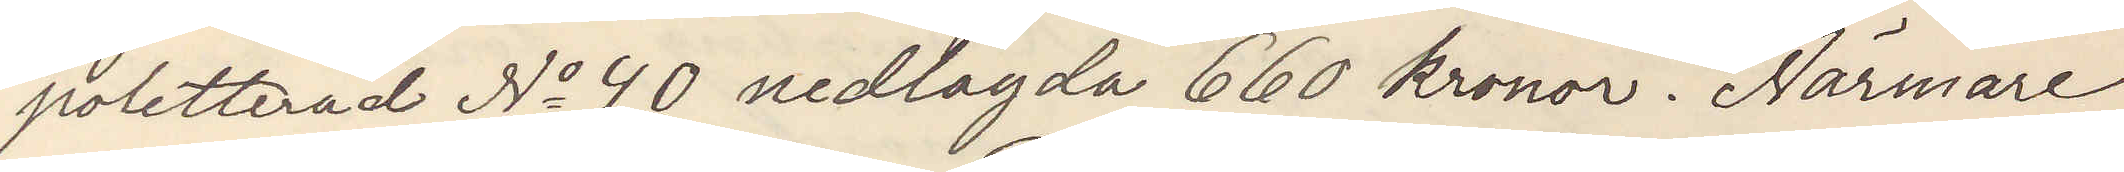poletterad No 40 nedlagda 660 kronor. Närmare
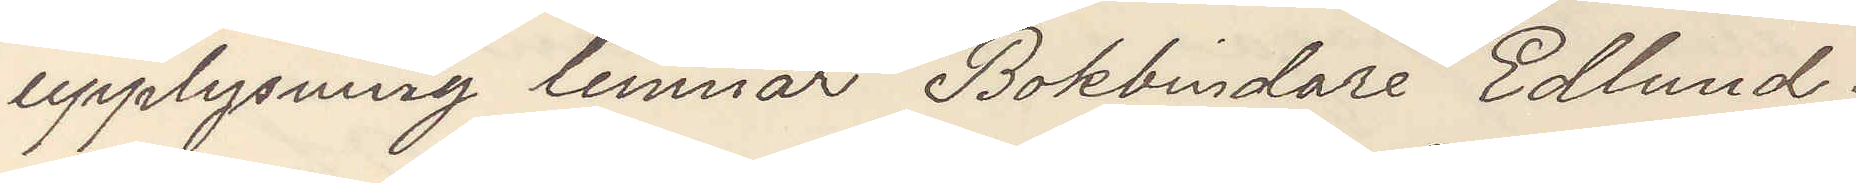upplysning lemnar Bokbindare Edlund.
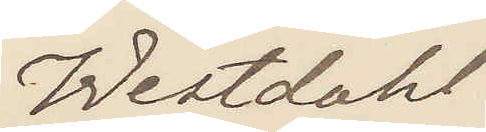Westdahl.
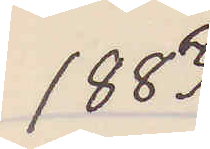1883
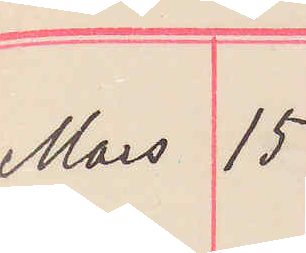Mars 15
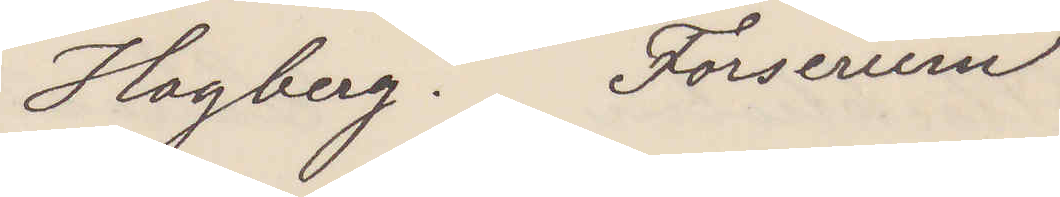Hagberg. Forserum
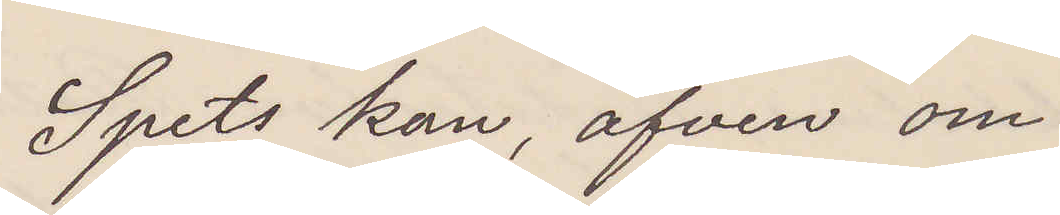Spets kan, äfven om
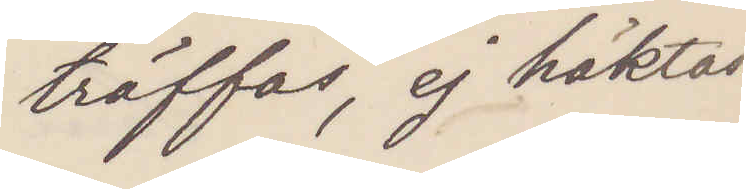träffas, ej häktas
